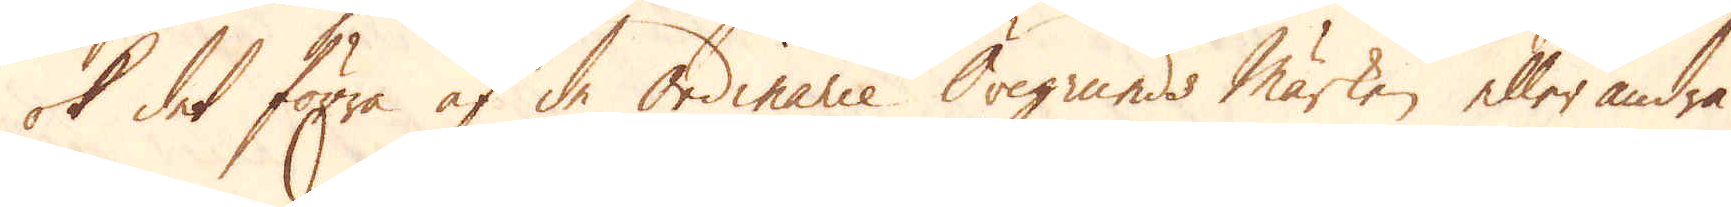ok det förra af de ordinarie Öregrunds märken eller andra.
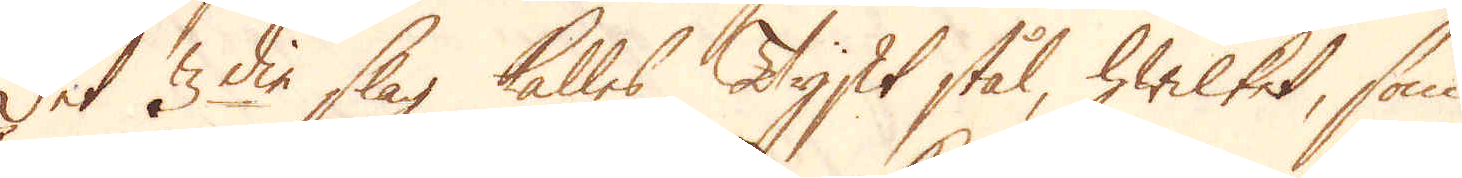Det 3die slag kalles Tyskt stål, hwilket, som
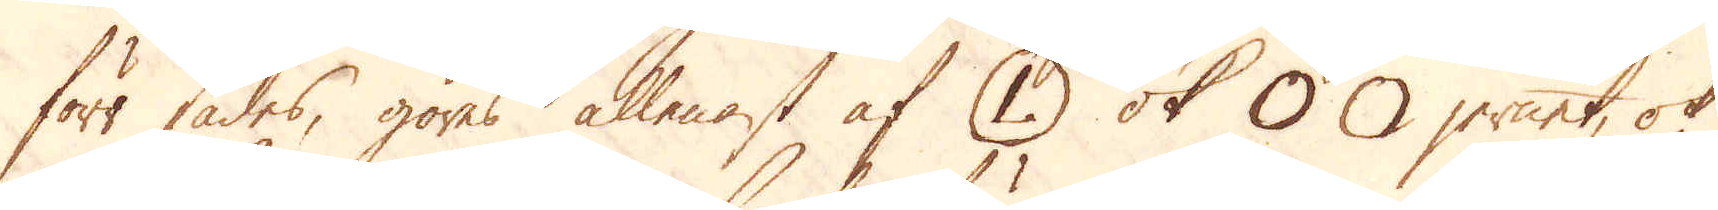förr sades, göres allenast af (L) ok O O jernet, ok
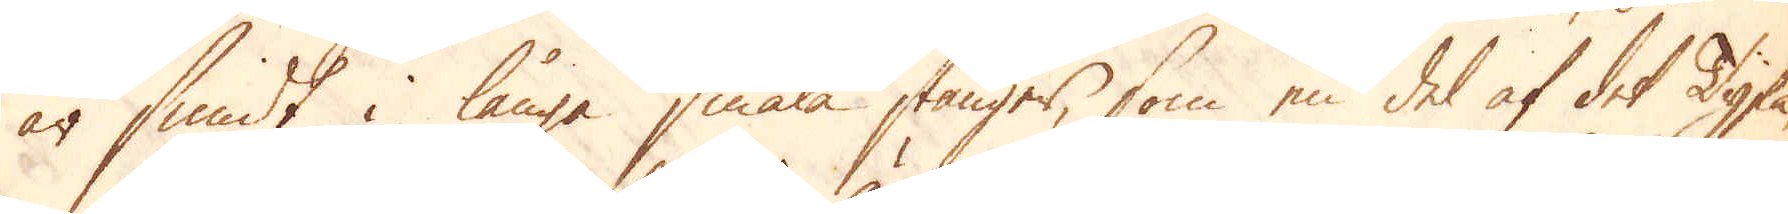är smidt i långa smala stänger, som en del af det Tyska
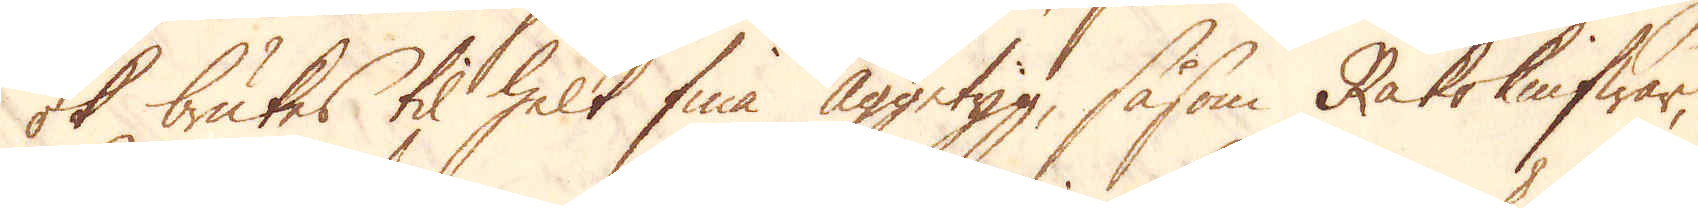ok brukes til helt fina Äggetyg, såsom Rakeknifwar,
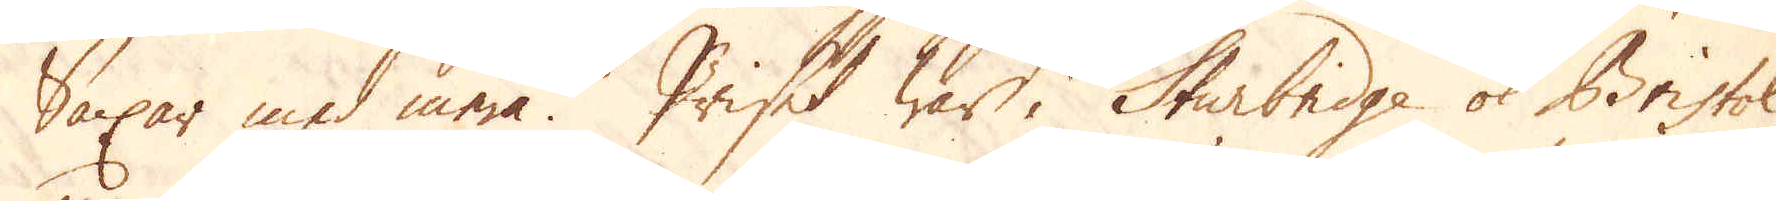Saxar med mera. Priset war i Sturbridge ok Bristol
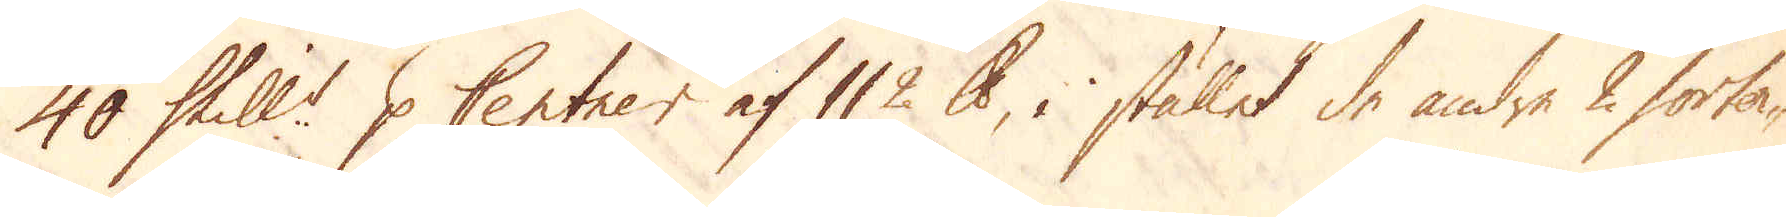40 Skill:r p Centner af 112 skålpund, i stället de andre 2 sorter-
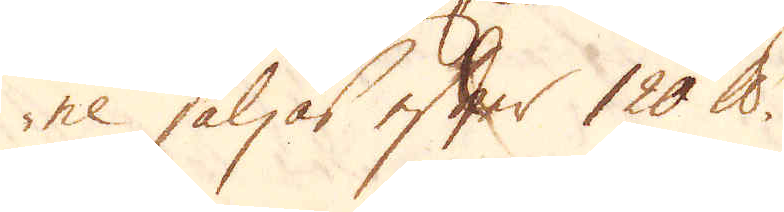ne säljas efter 120 skålpund.
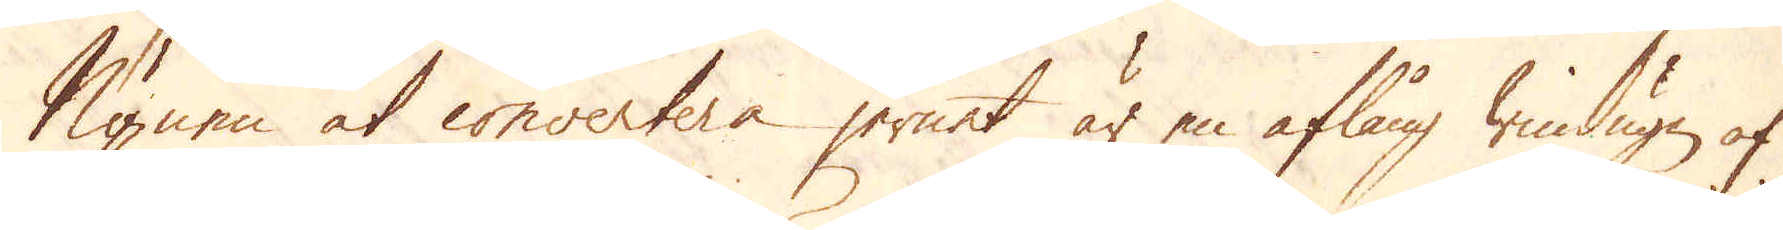Ugnen at convertera jernet är en aflång windugn af
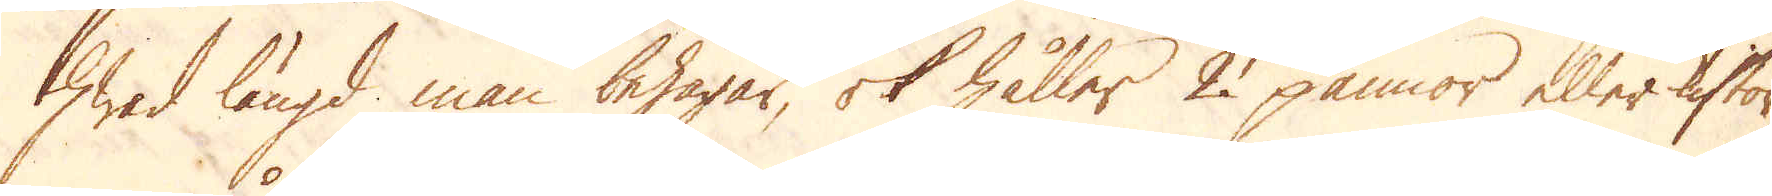hwad längd man behagar, ok håller 2 pannor eller kistor,
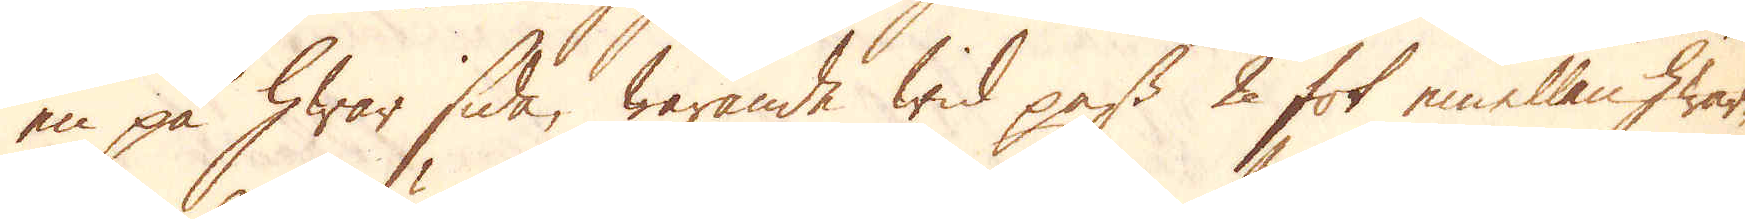en på hwar sida, warande wid pass 2 fot emellan hwar-
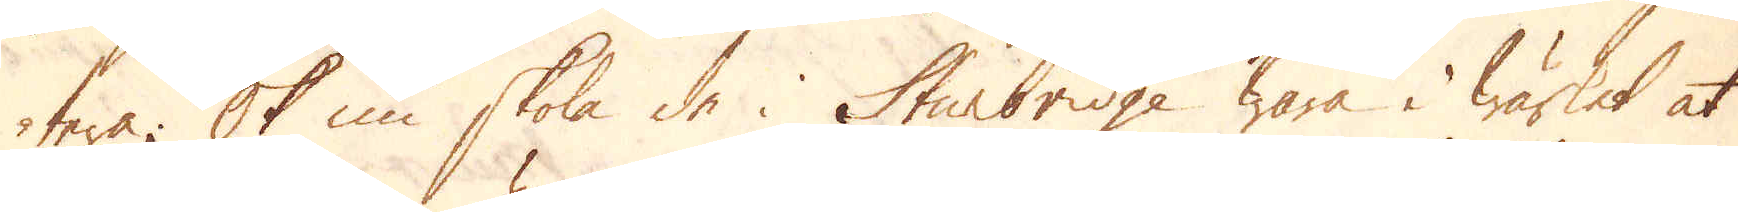tera; Ok nu skola de i Sturbridge wara i wärket at
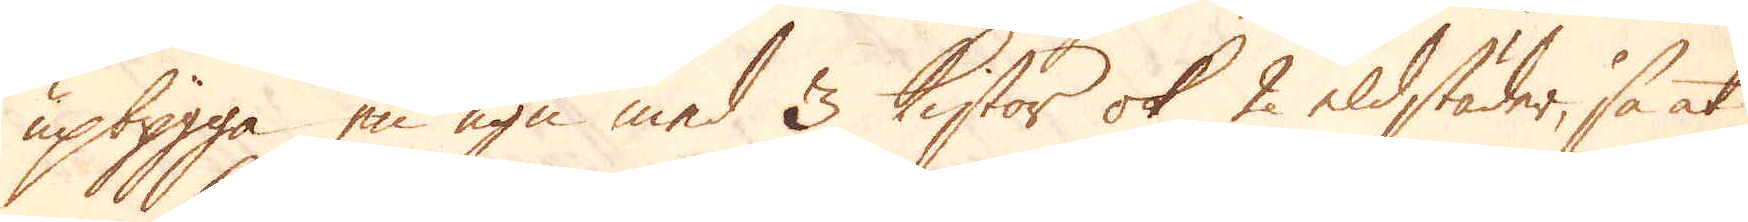upbygga en ugn med 3 Kistor ok 2 eldstäder, så at
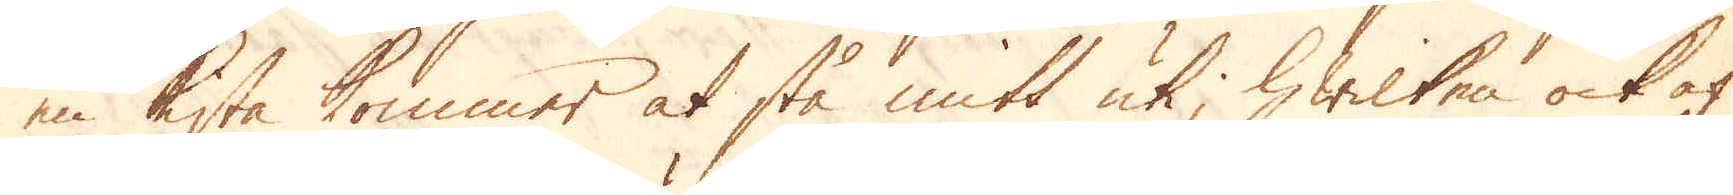en kista kommer at stå mitt uti, hwilken ock af
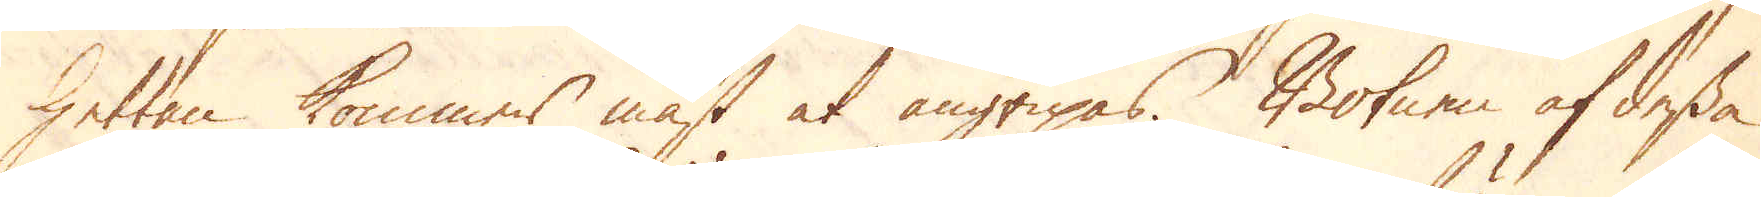hettan kommer mäst at angripas. Botnen af dessa
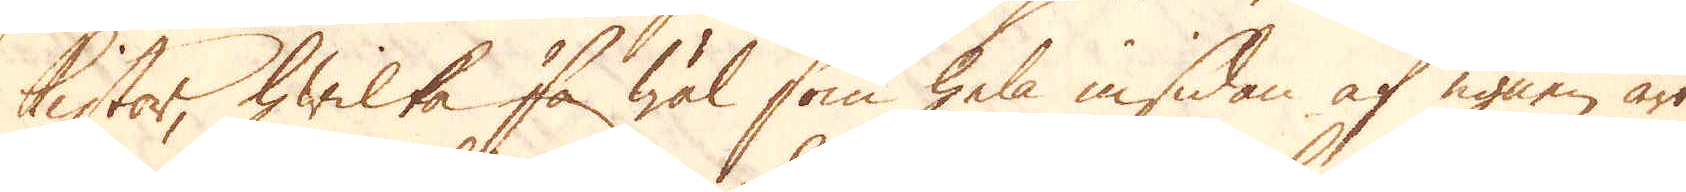kistor, hwilka så wäl som hela insidan af ugnen äro
